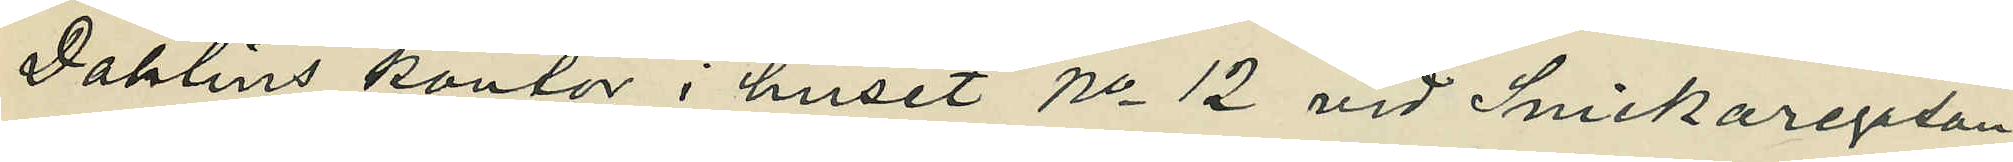Dahlins kontor i huset No 12 vid Snickaregatan.
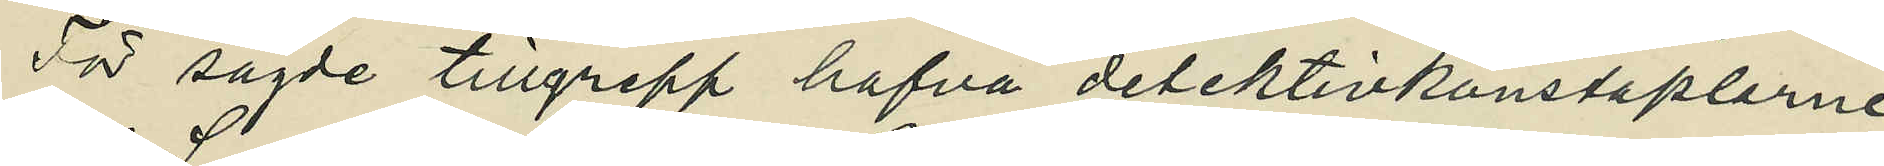För sagde tillgrepp hafva detektivkonstaplarne
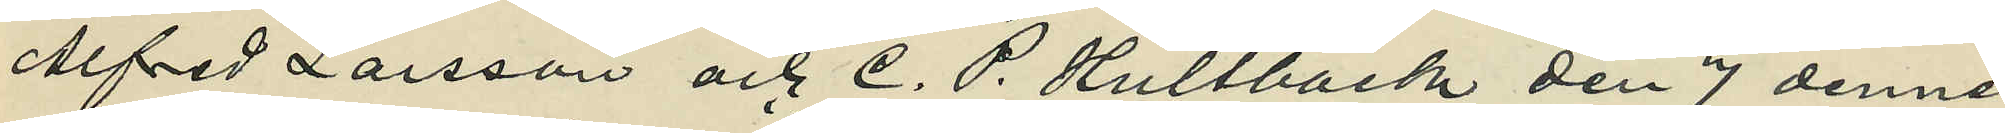Alfred Larsson och C. P. Hultbäck den 7 dennes
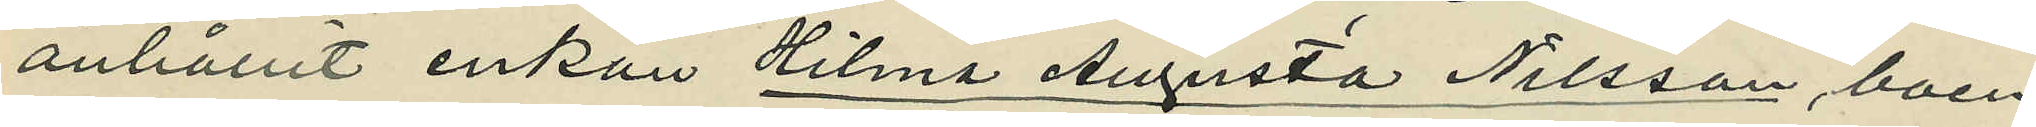anhållit enkan Hilma Augusta Nilsson, boen¬
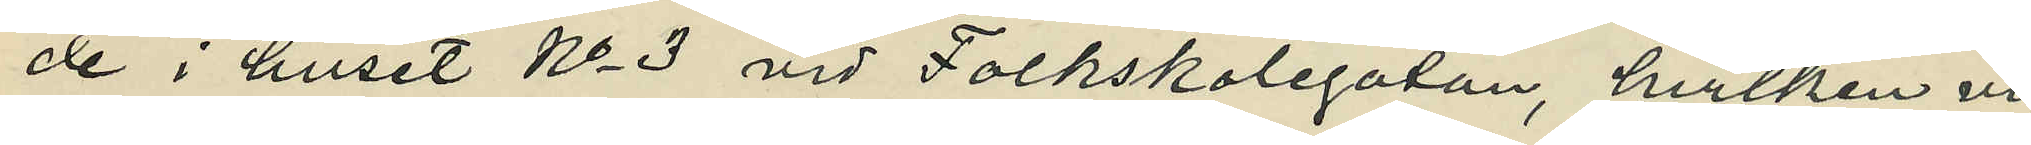de i huset No 3 vid Folkskolegatan, hvilken vid
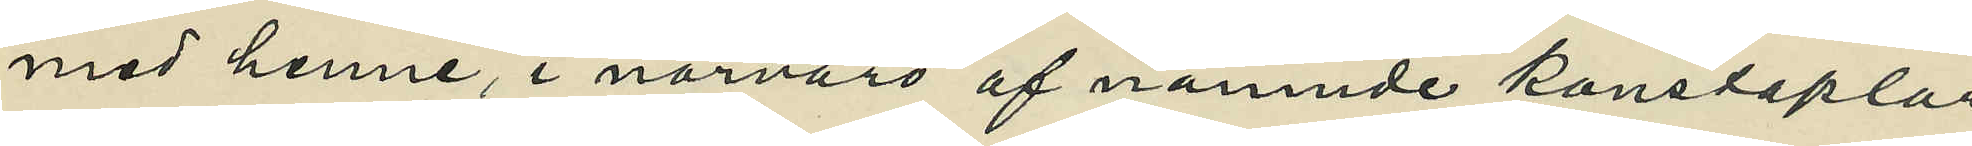med henne, i närvaro af nämnde konstaplar,
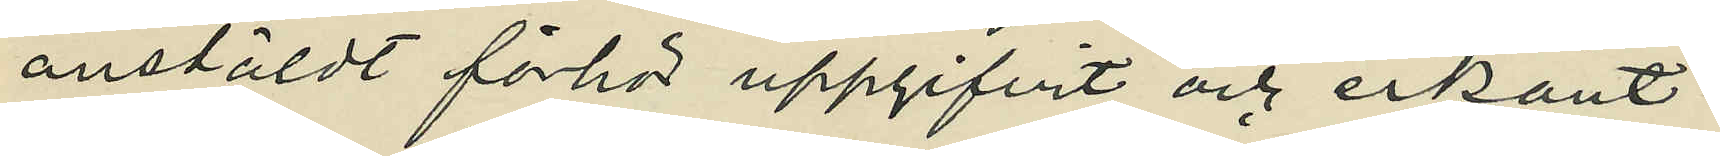anstäldt förhör uppgifvit och erkänt:
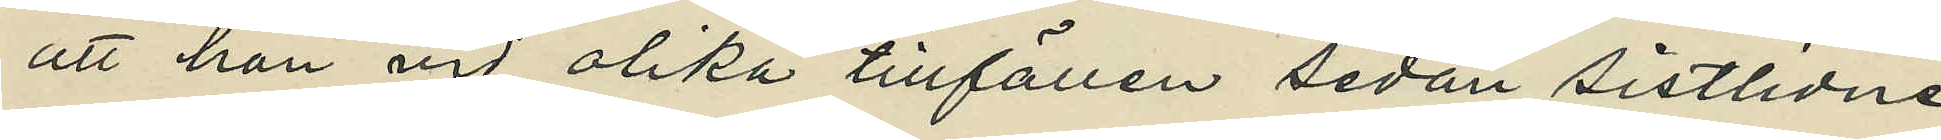att hon vid olika tillfällen sedan sistlidne
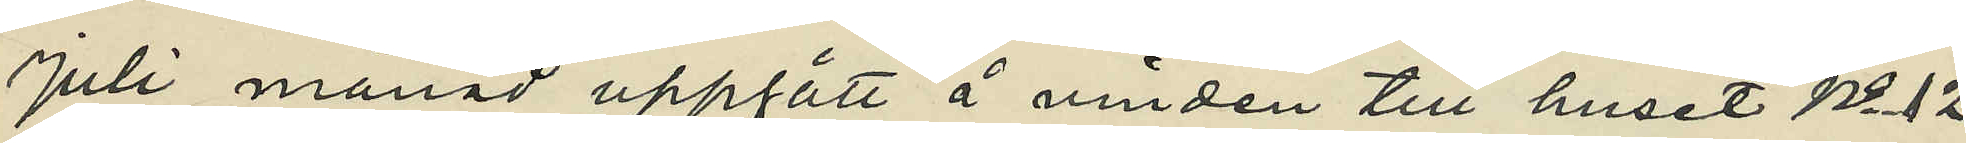Juli månad uppgått å vinden till huset No 12
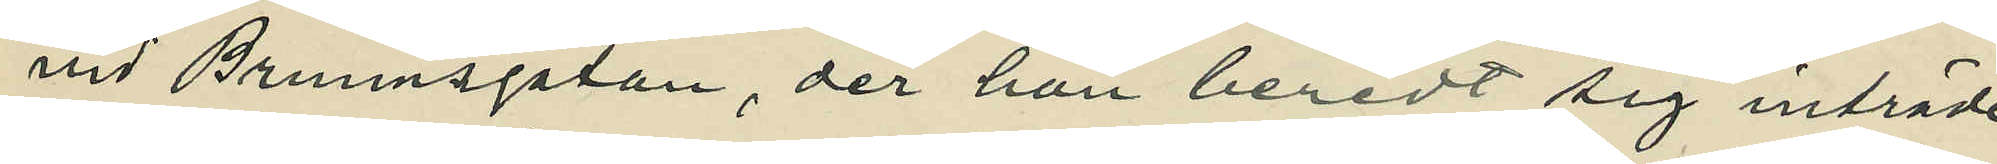vid Brunnsgatan, der hon beredt sig inträde
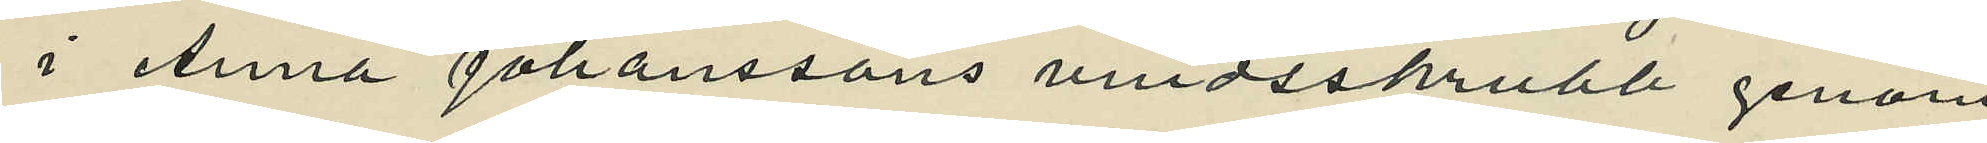i Anna Johanssons vindsskrubb genom
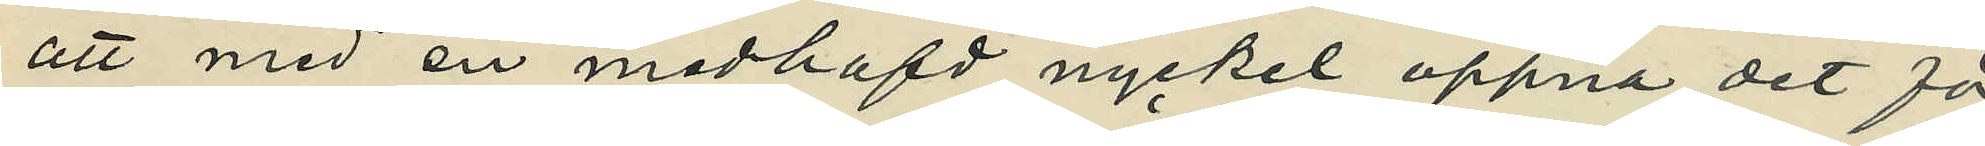att med en medhafd nyckel öppna det för
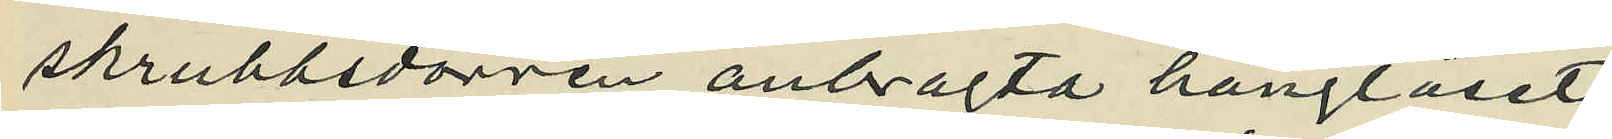skrubbsdörren anbragta hänglåset;
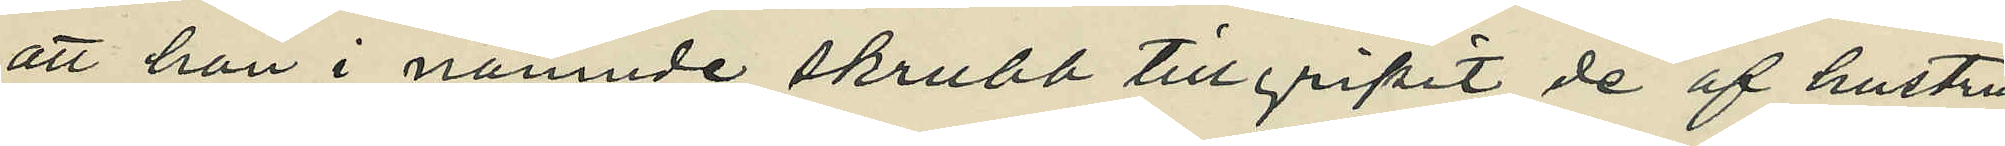att hon i nämnde skrubb tillgripit de af hustru
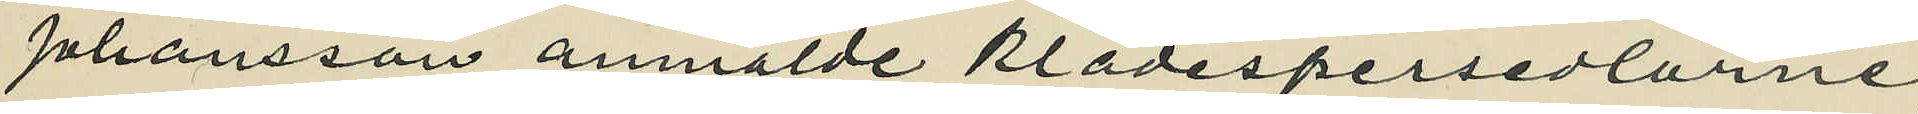Johansson anmälde klädespersedlarne,
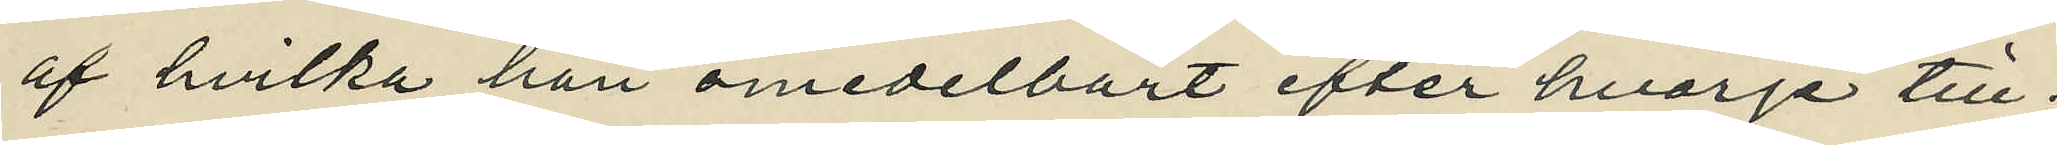af hvilka hon omedelbart efter hvarje till¬
